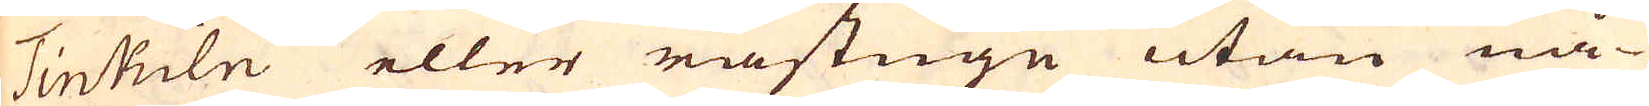TinKiln eller råstugn utan nå-
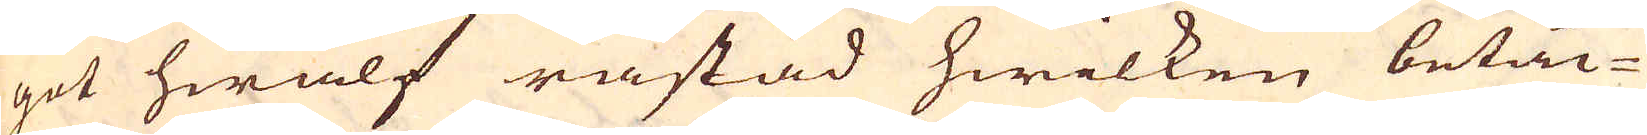got hwalf råstad hwilken betän-
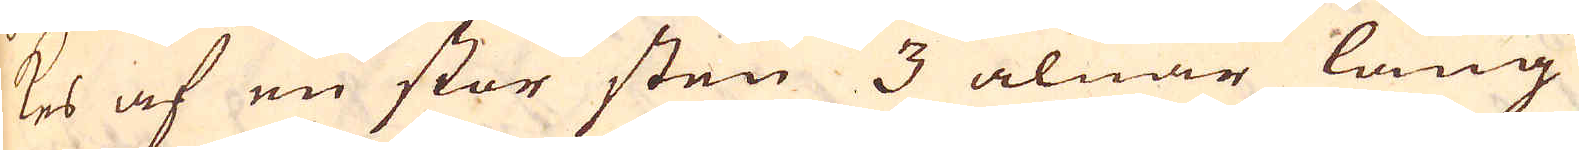kes af en stor sten 3 alnar lång
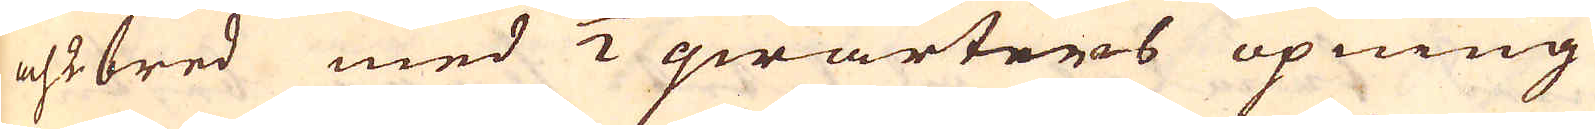och 2 bred med 1/2 qwarters öpning
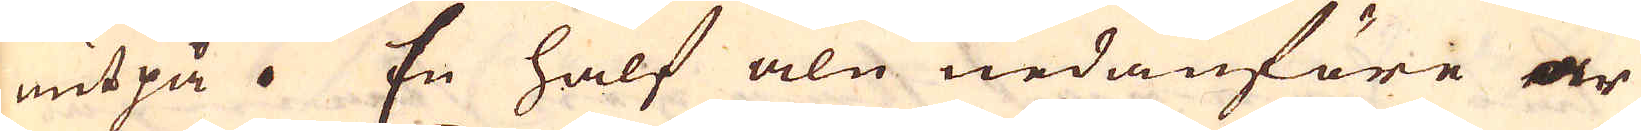mitpå. En half aln nedanföre är
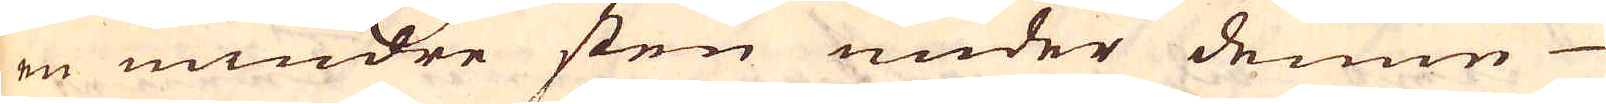en mindre sten under denne
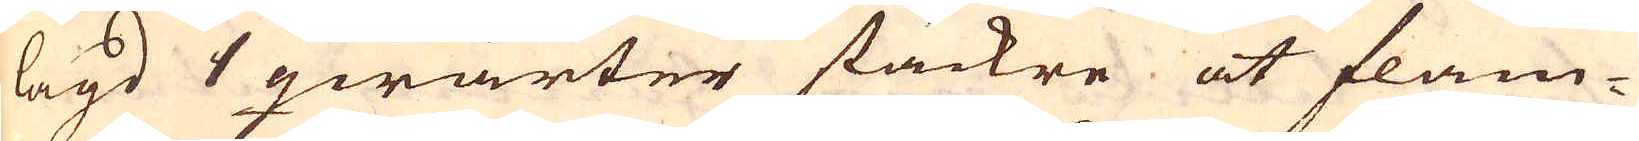lagd 1 qwarter stäckre at flam-
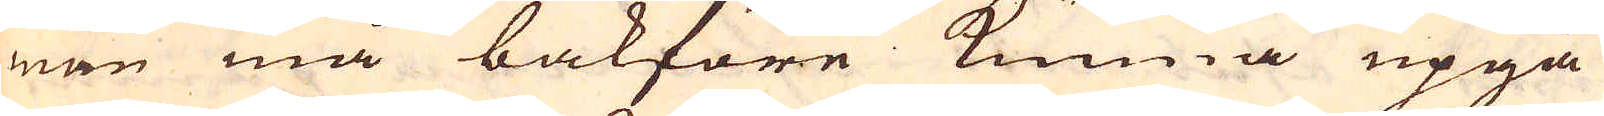man må bakföre kunna upgå
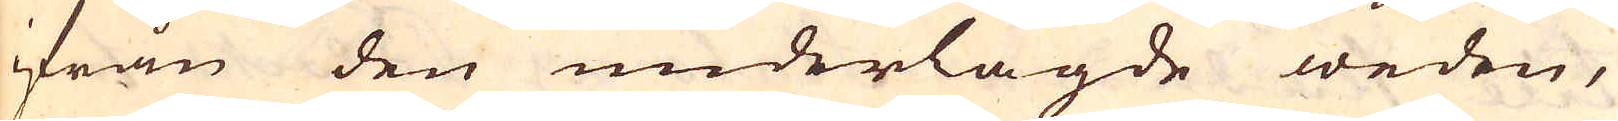ifrån den underlagde weden,
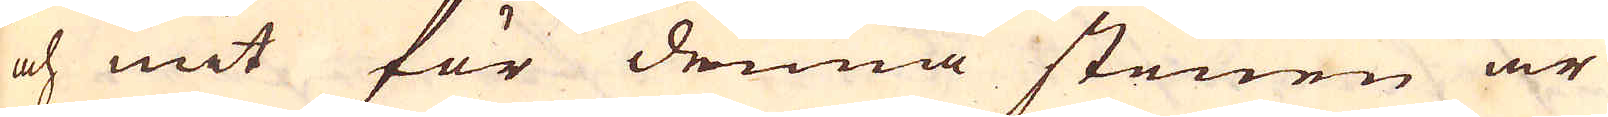och mit för denna stenen är
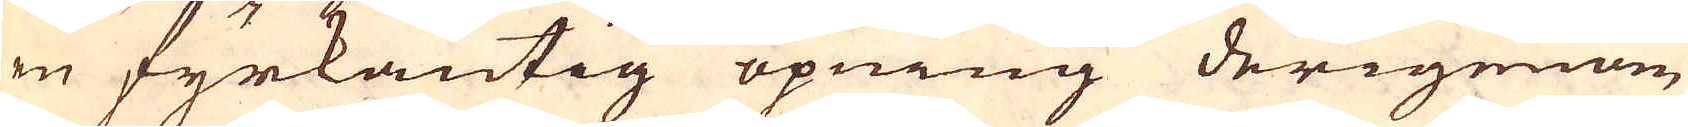en fyrkantig öpning derigenom
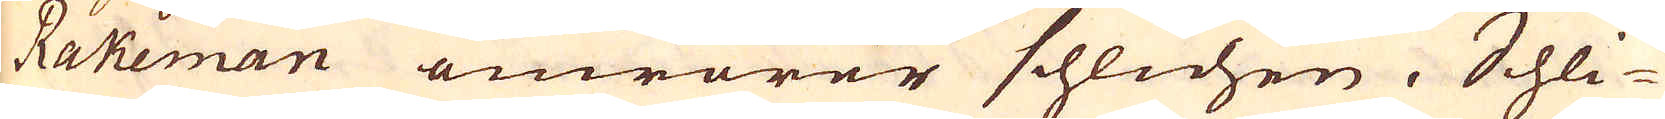Rakeman omrörer schlichen. Schli-
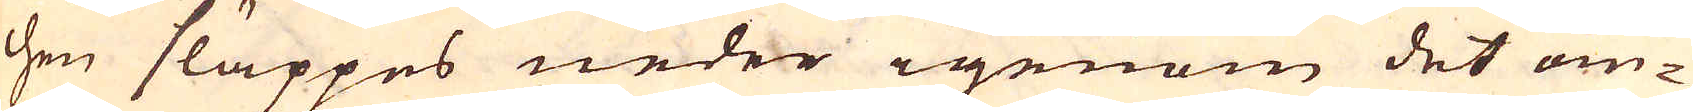chen släppes neder igenom det om-
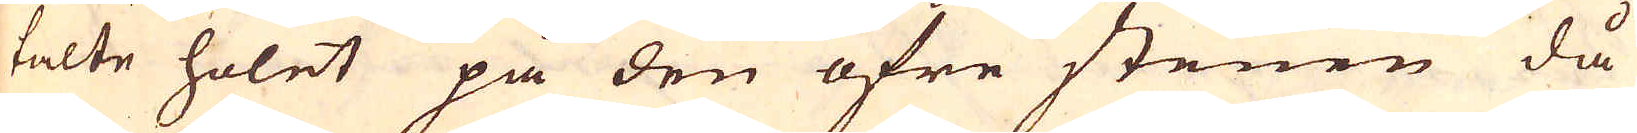talte holet på den öfre stenen då
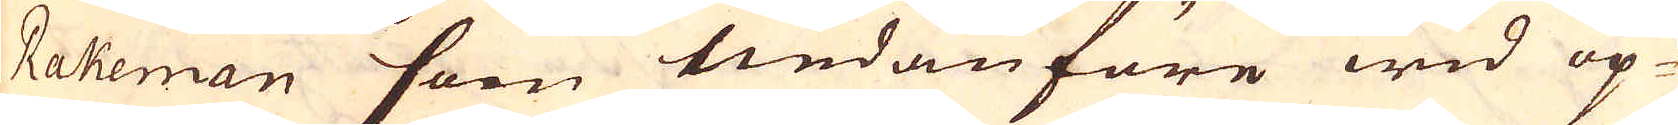Rakeman som nedanföre wid öp-
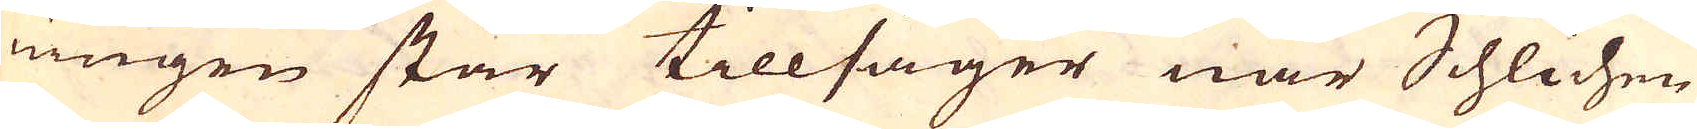ningen står tillsäger när Schlichen
